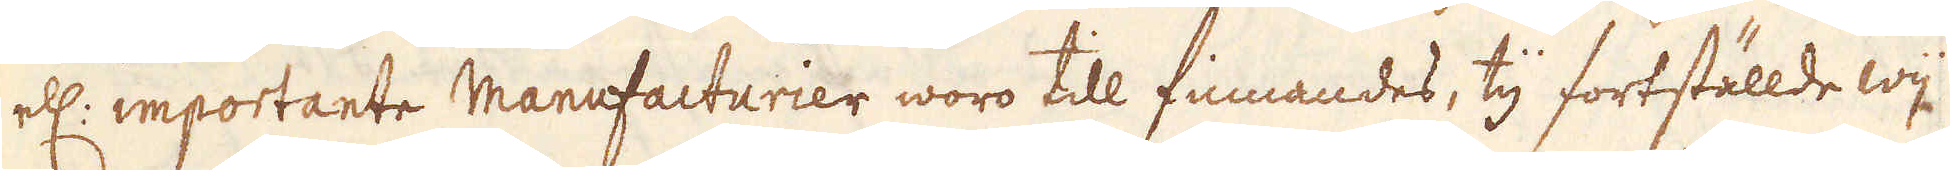elr: importante Manufacturier woro till finnandes, ty fortställde wij
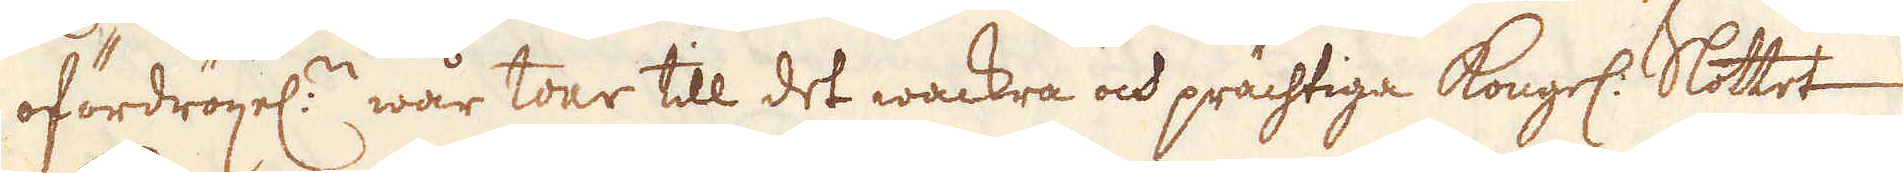ofördrögel:n wår tour till det wackra och prächtige Kongl. Slottet
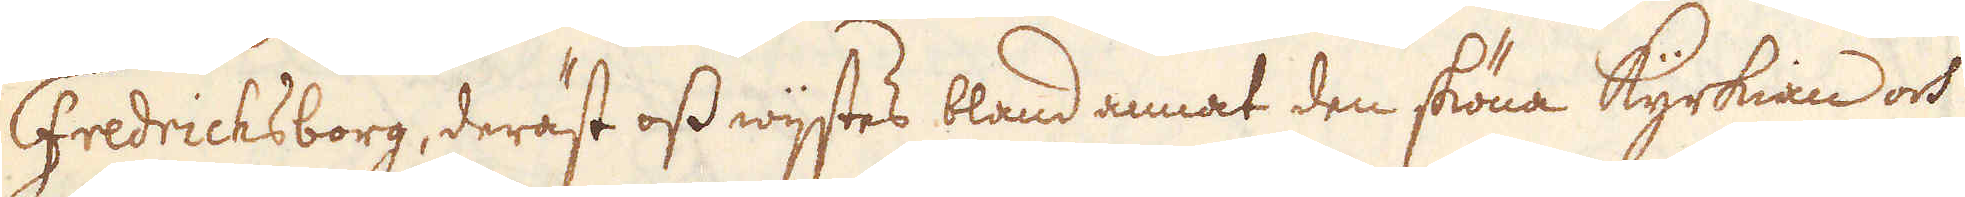Fredricksborg, deräst oss wijstes bland annat den sköna Kyrkian ock
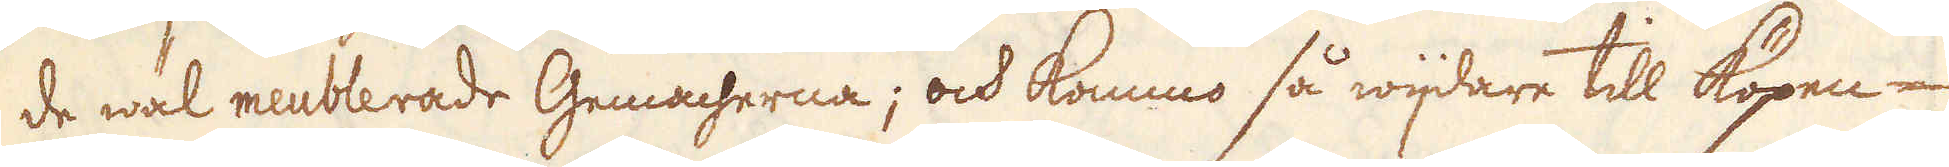de wäl meublerade Gemacherna; ock kommo så wijdare till Köpen-
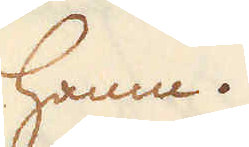hamn.
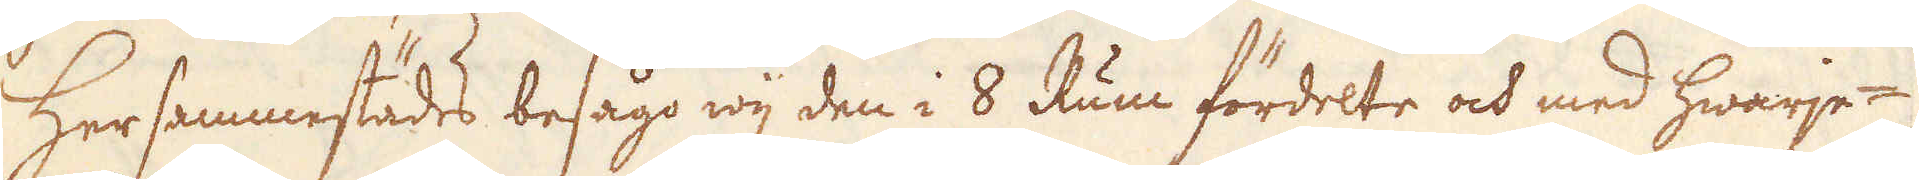Hersammestädes besågo wij den i 8 Rum fördelte och med hwarje-
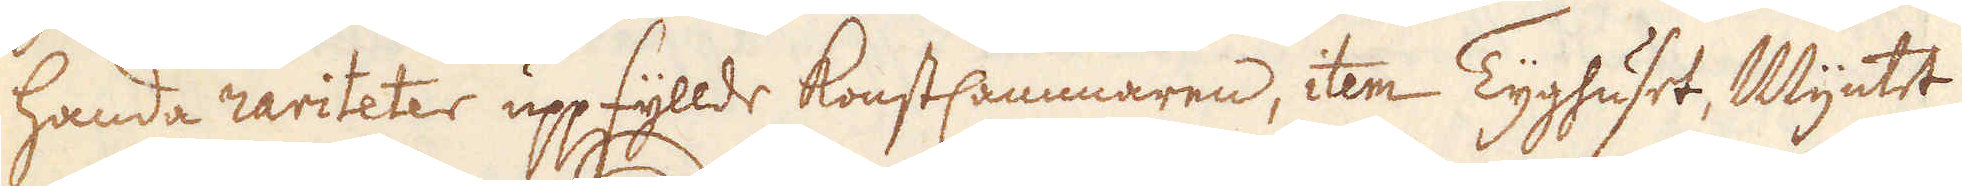handa rariteter uppfyllde konstcammmaren, item Tyghuset, Myntet
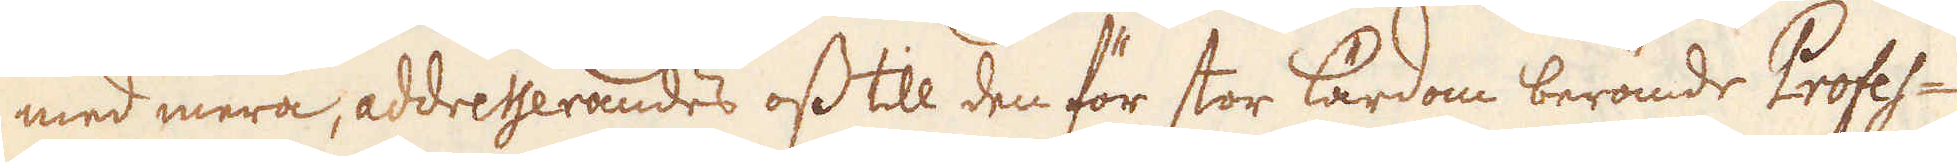med mera, addresserandes oss till den för stor lärdom berömde Profes-
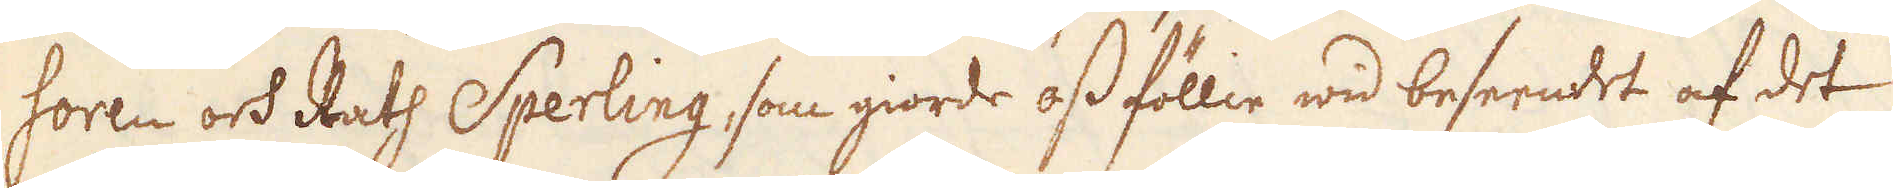soren och Ralf Sperling, som giorde oss föllie wid beseendet af det
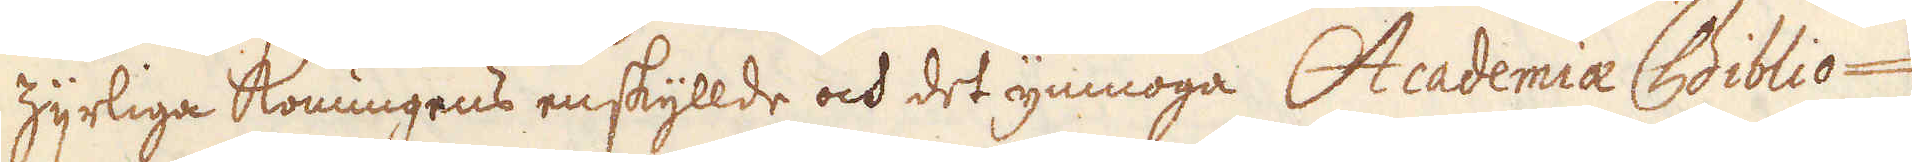Zyrliga Konungens enskyllde och det ymnoga Academia Biblio-
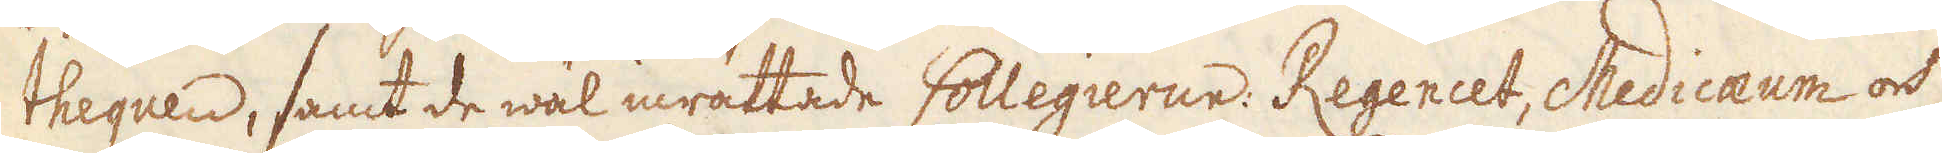thequen, samt de wäl inrättede Collegierne. Regencet, Medicaeum och
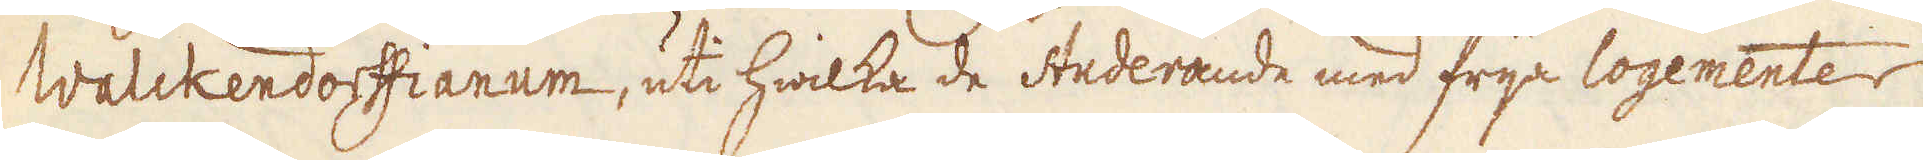Walckendoffianum, uti hwilka de Studerande med frija logementer
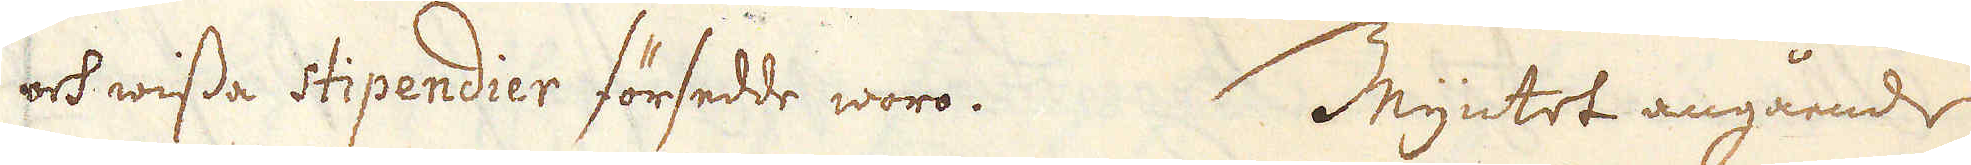och wisse Sipendier försedde woro. Myntet angående
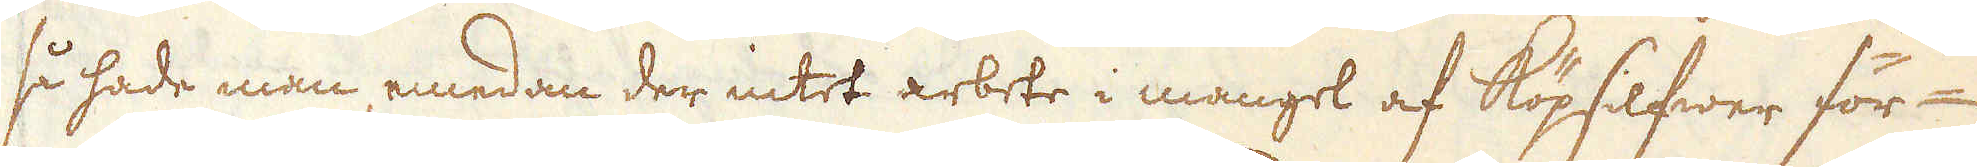så hade man, emedan der intet arbete i mangel af köpsilfwer för-
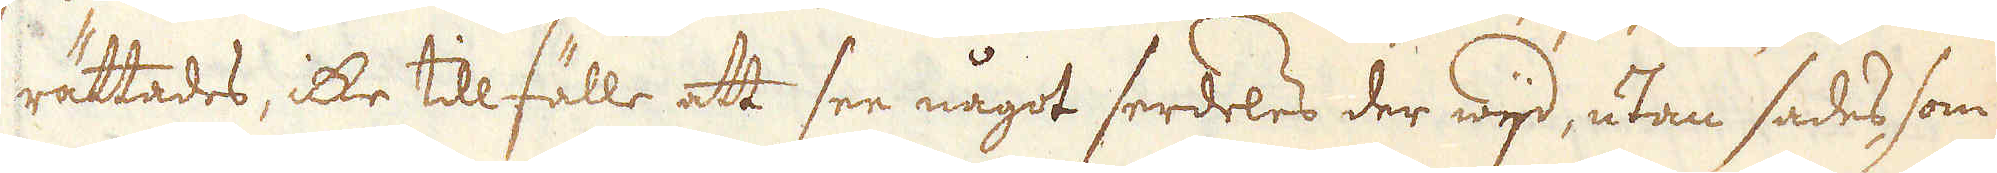rättades, icke tillfälle att see något serdeles der wijd, utan sades, som
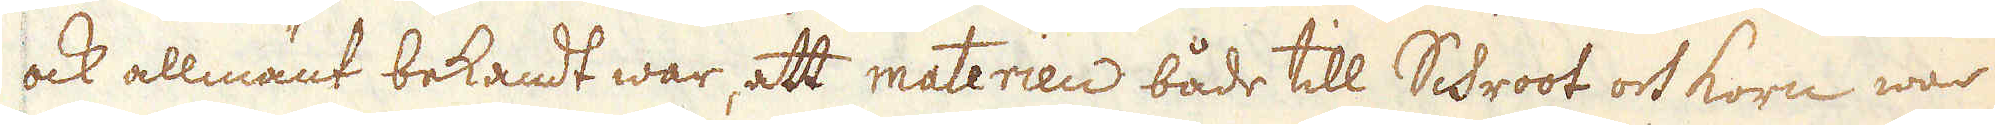ock allmänt bekandt war, ett materien både till Schroot och korn war
